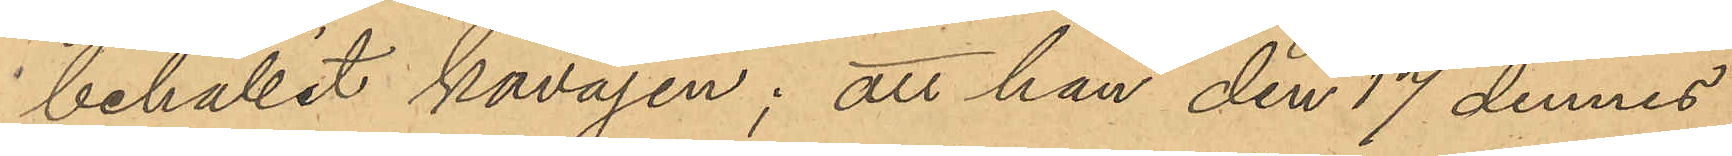behållit kavajen; att han den 17 dennes
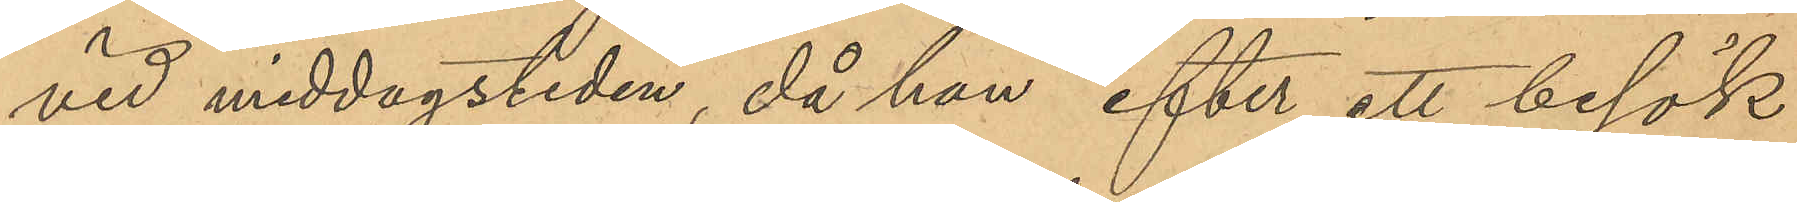vid middagstiden, då han efter ett besök
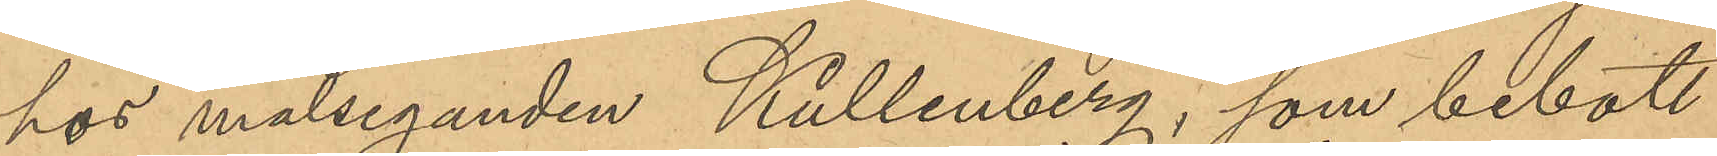hos målseganden Kullenberg, som bebott
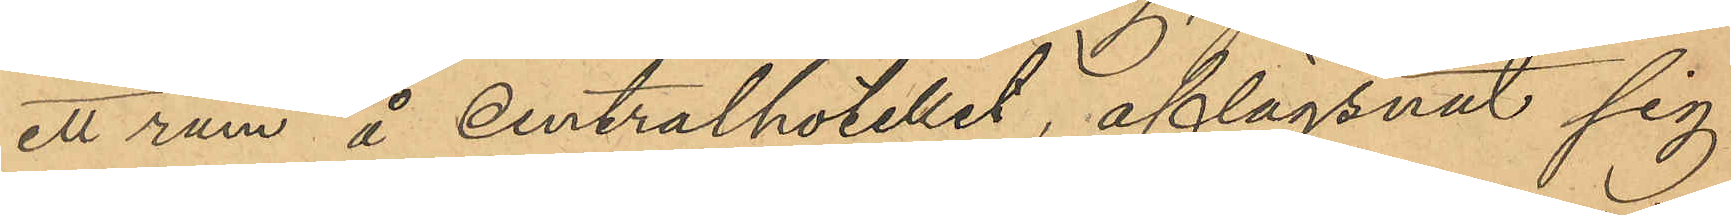ett rum å centralhotellet, aflägsnat sig
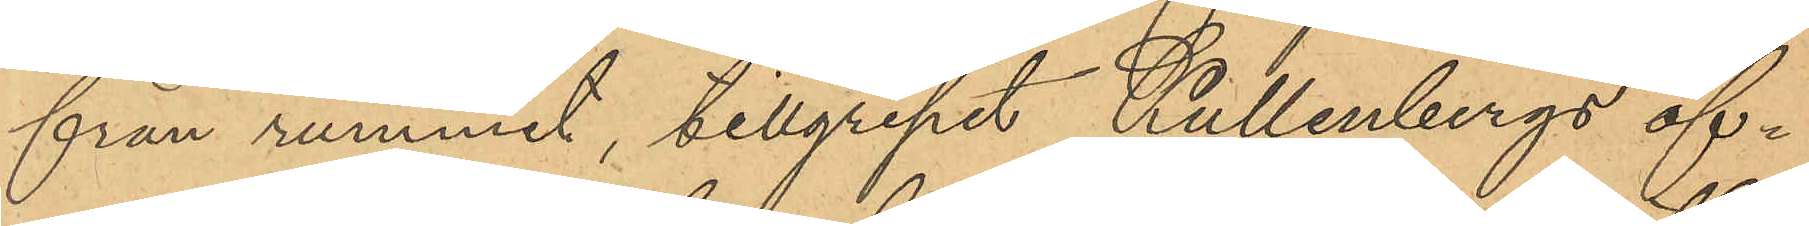från rummet, tillgripit Kullenbergs öf¬
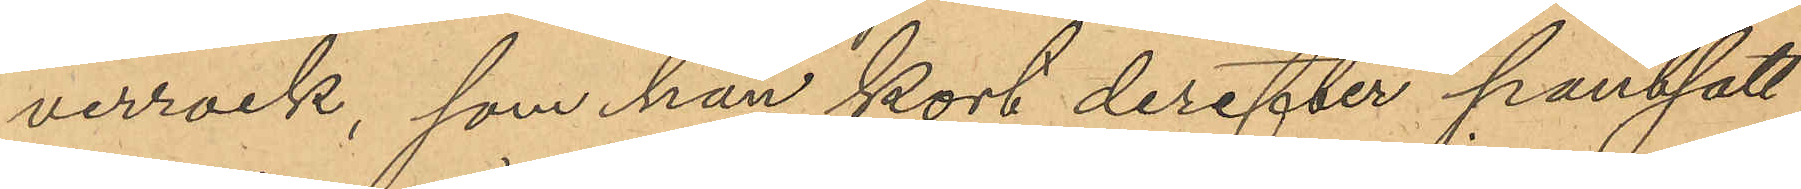verrock, som han kort derefter pantsatt
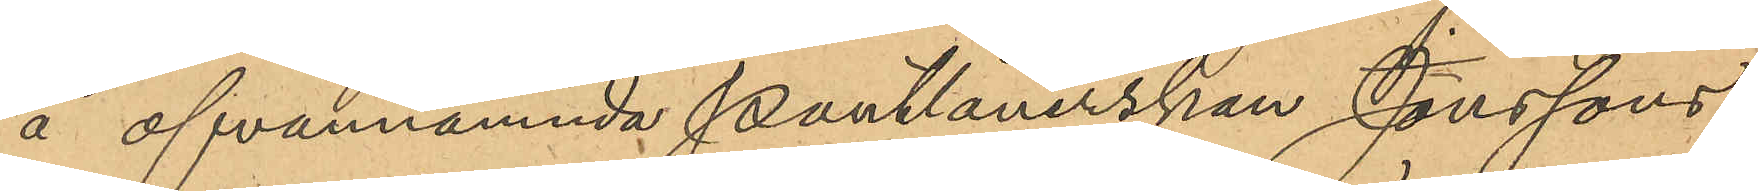å ofvannämnda Pantlånerskan Jonssons
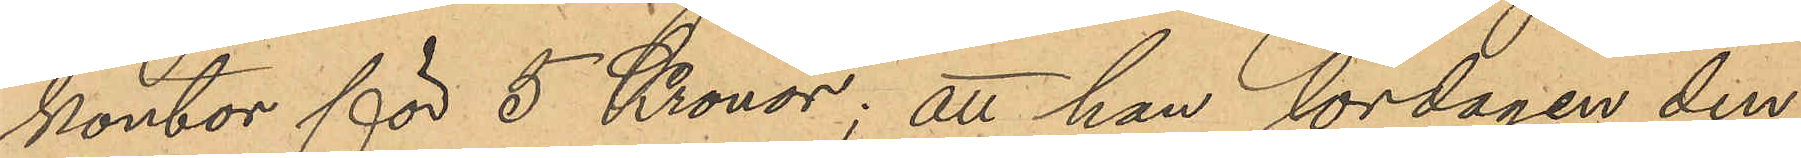kontor för 5 Kronor; att han lördagen den
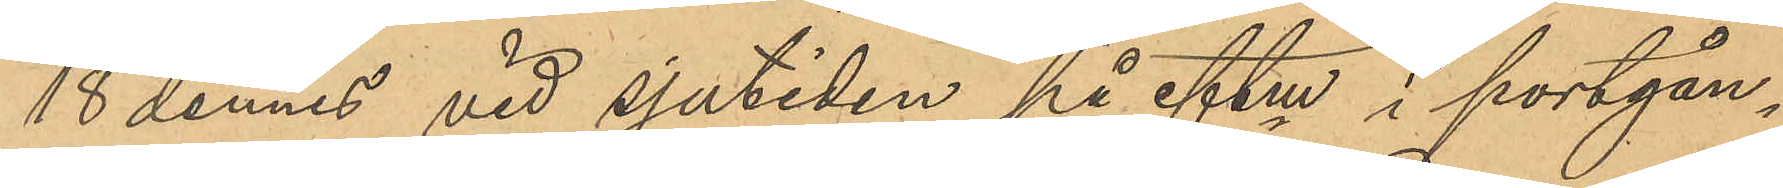18 dennes vid sjutiden på eftm i portgån¬
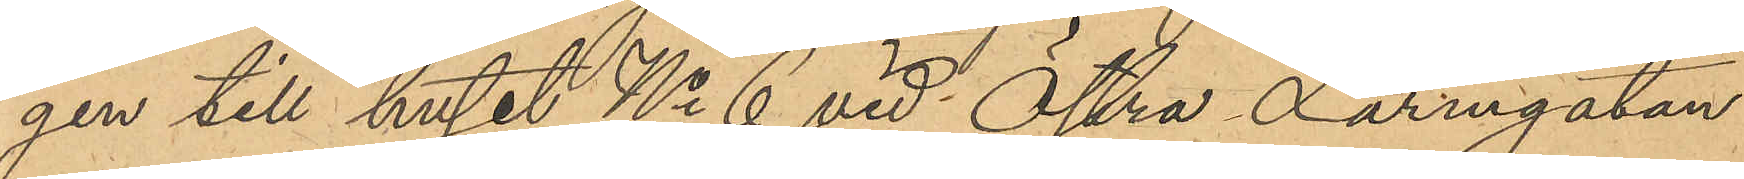gen till huset No 6 vid Östra Larmgatan,
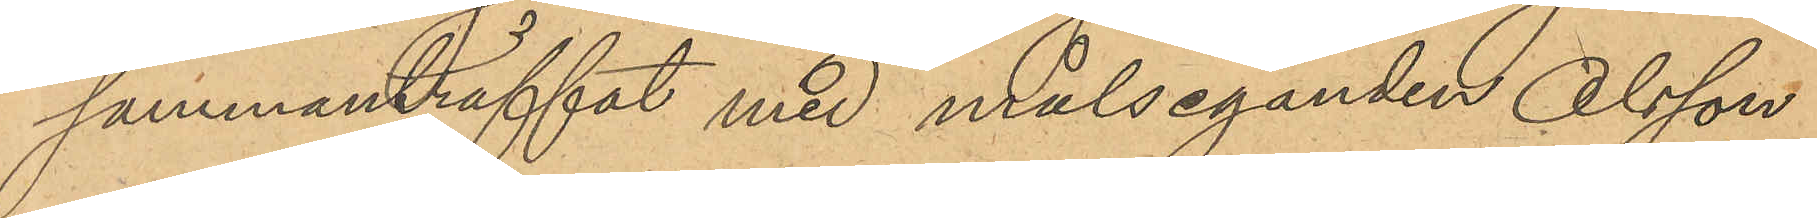sammanträffat med målseganden Olsson,
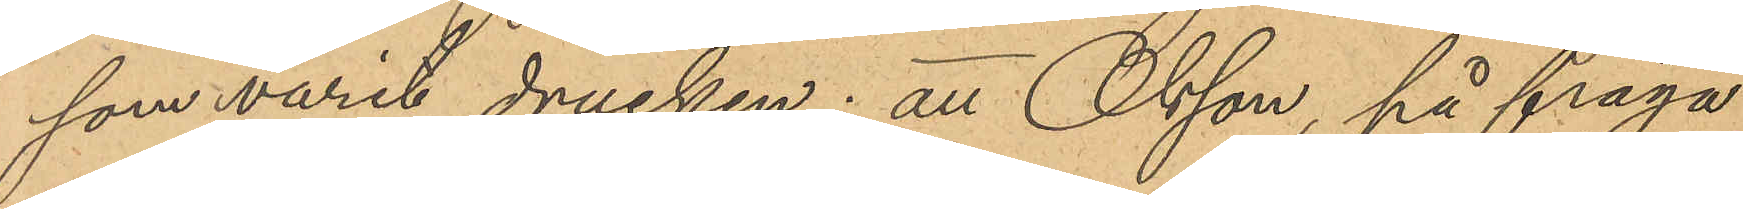som varit drucken; att Olsson, på fråga
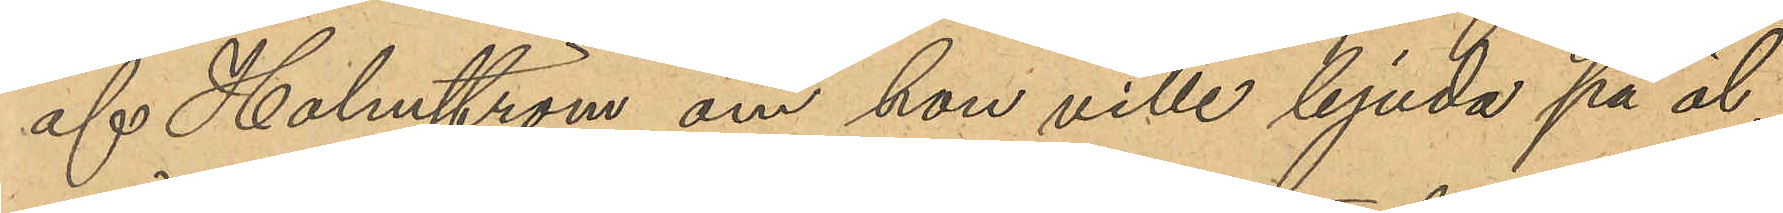af Holmström om han ville bjuda på öl,
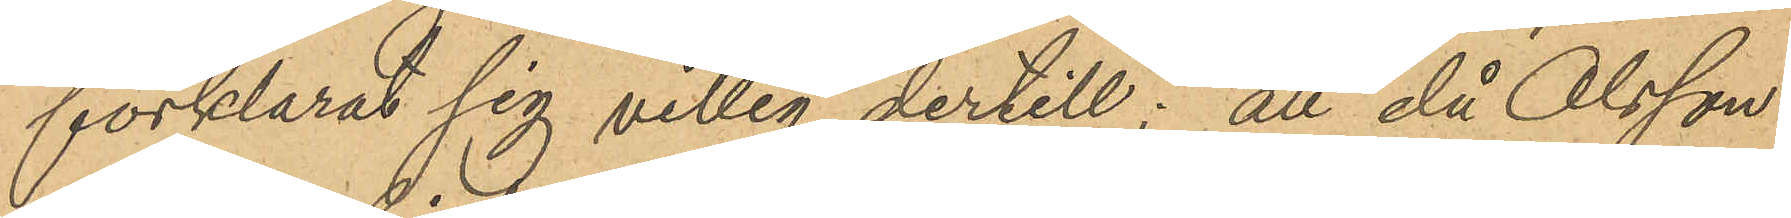förklarat sig villig dertill; att då Olsson
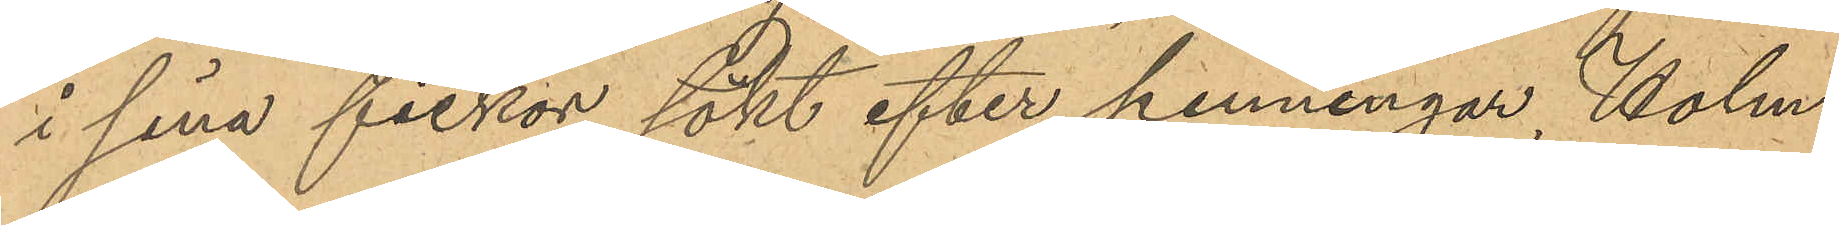i sina fickor sökt efter penningar, Holm¬
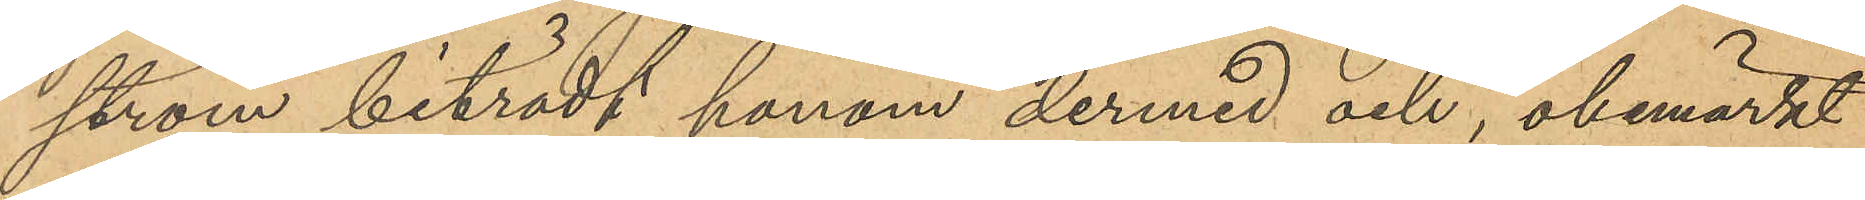ström biträdt honom dermed och, obemärkt
